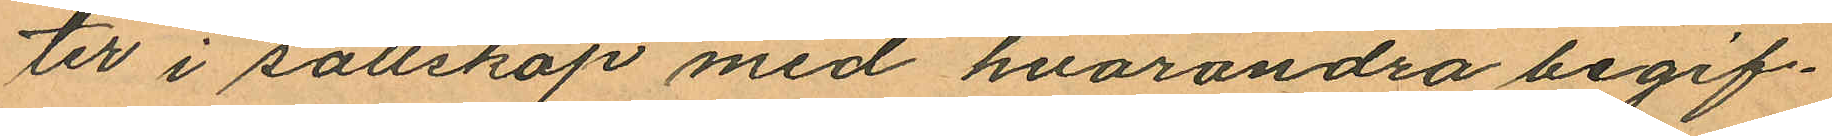ter i sällskap med hvarandra begif¬
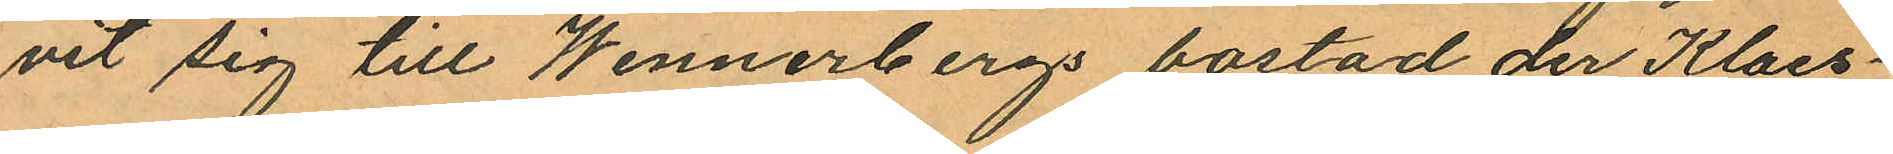vit sig till Wennerbergs bostad der Klaes¬
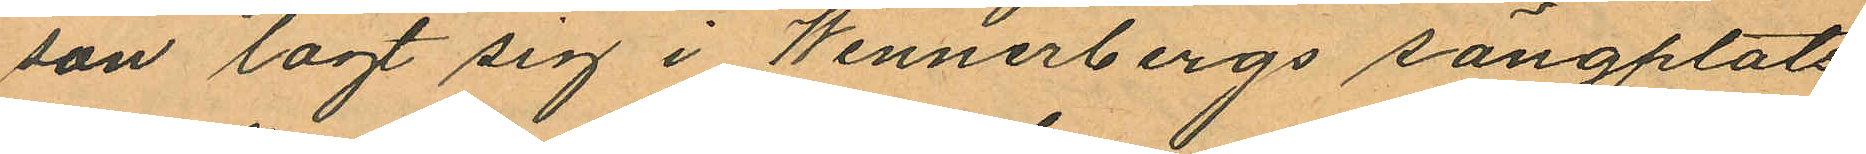son lagt sig i Wenerbergs sängplats
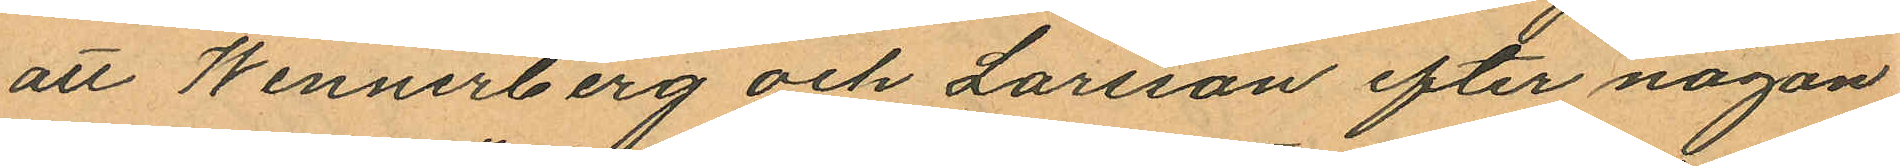att Wennerberg och Larsson efter någon
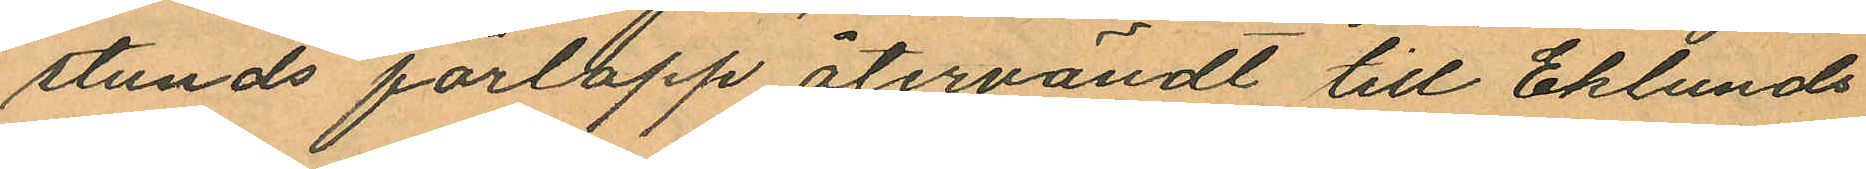stunds förlopp återvändt till Eklunds¬
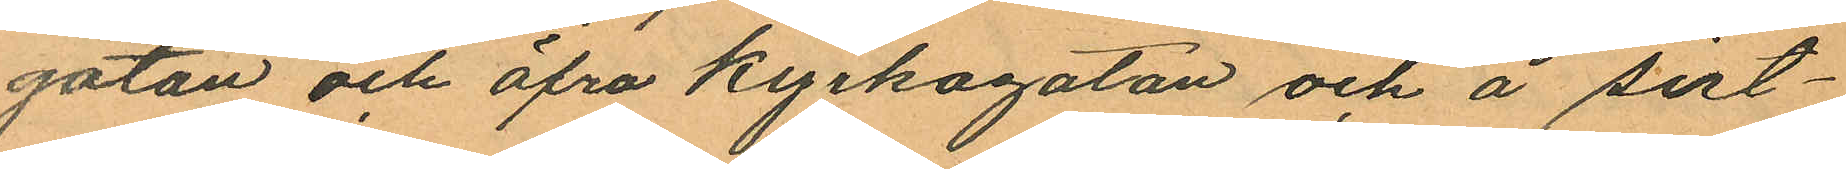gatan och öfra Kyrkogatan och å sist¬
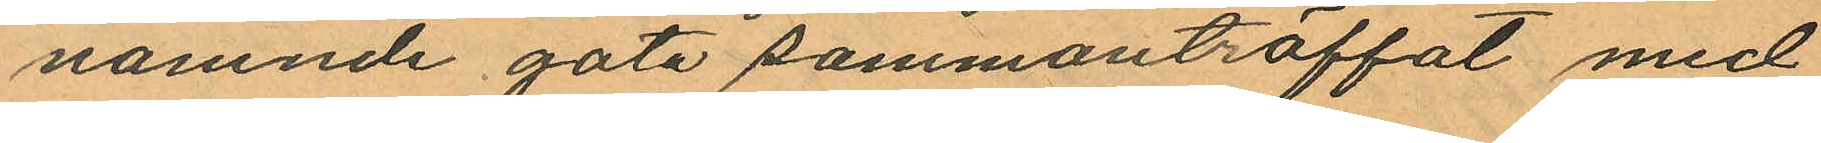nämnde gata sammanträffat med
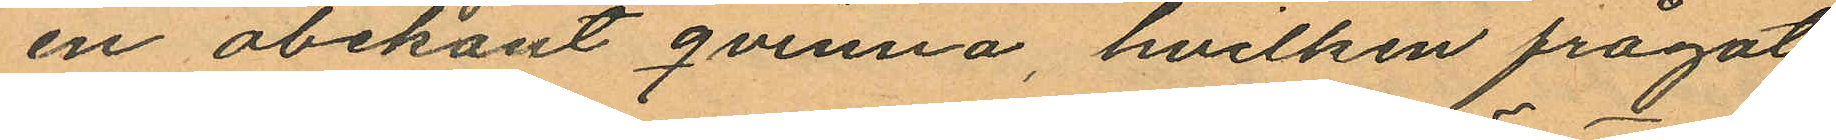en obekant qvinna, hvilken frågat
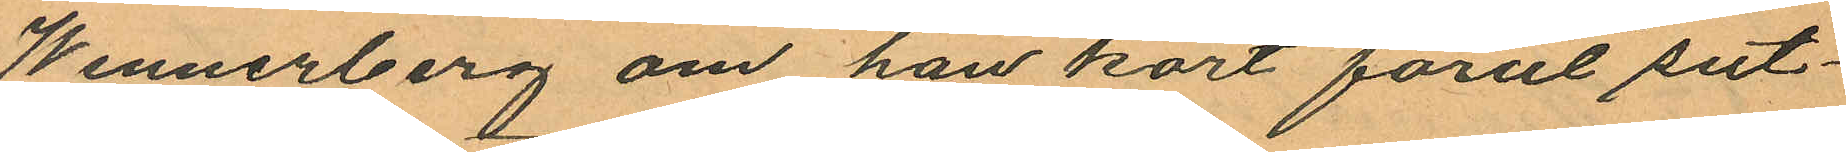Wennerberg om han kort förut sut¬
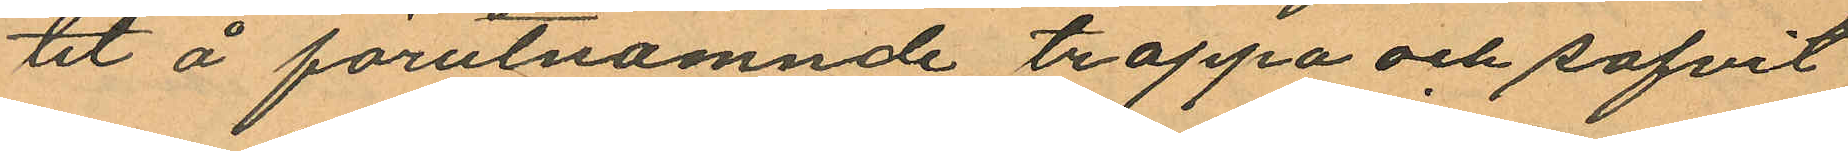tit å förutnämnde trappa och sofvit
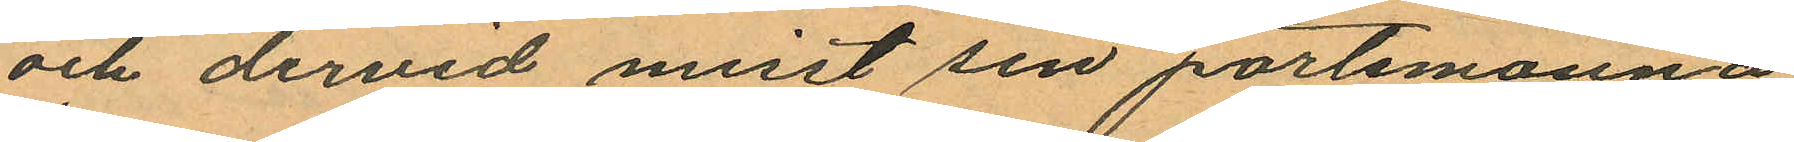och dervid mist sin portemonnä
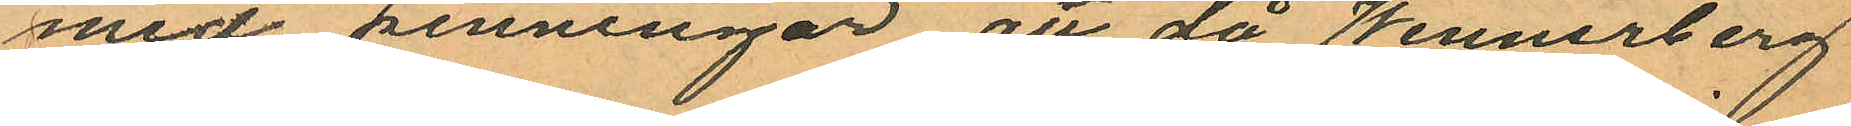med penningar att då Wennerberg
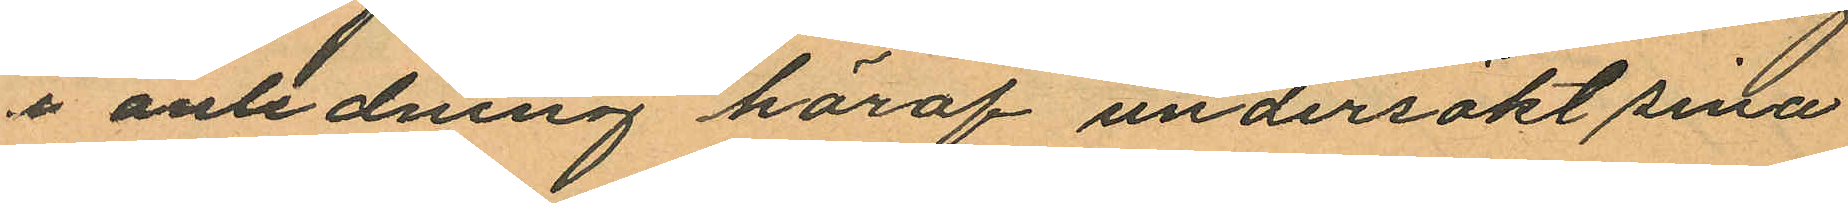i anledning häraf undersökt sina
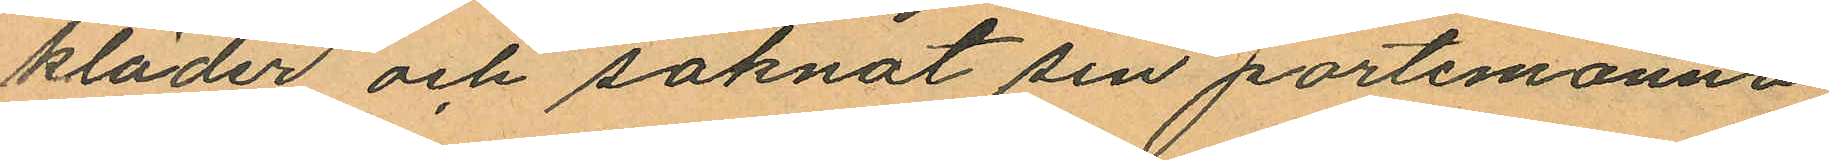kläder och saknat sin portemonnä
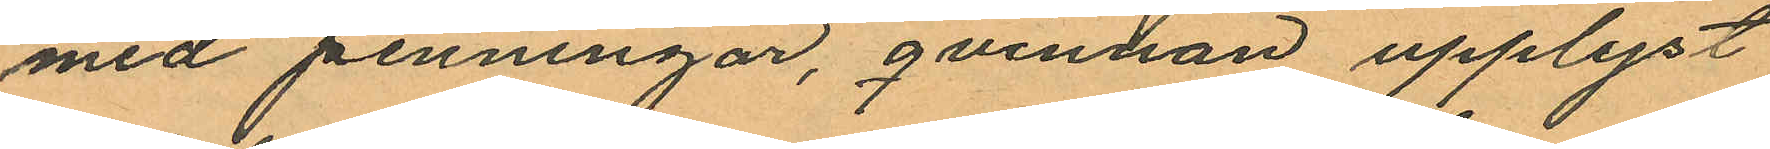med penningar, qvinnan upplyst
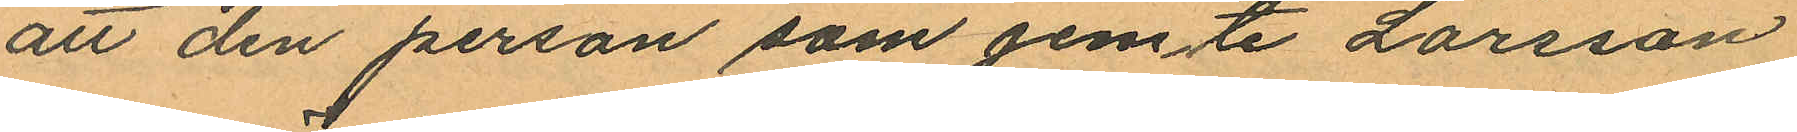att den person som jemte Larsson
